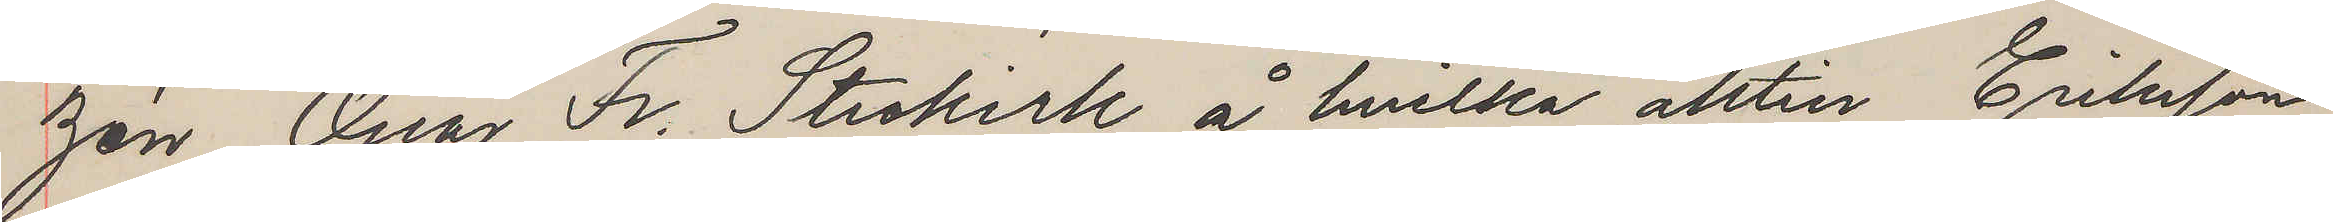zén, Oscar Fr. Strokirk, å hvilka aktier Eriksson
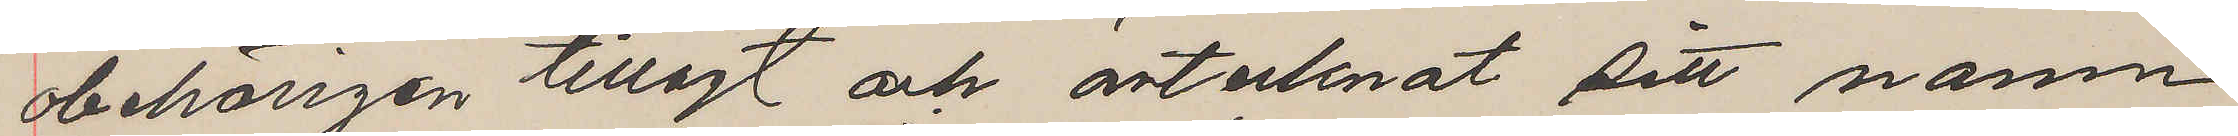obehörigen tillagt och antecknat sitt namn
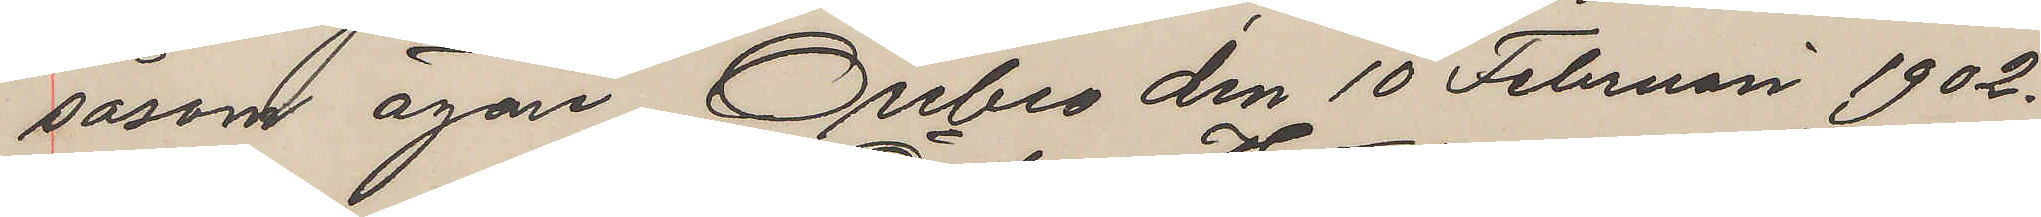såsom ägare. Örebro den 10 Februari 1902.
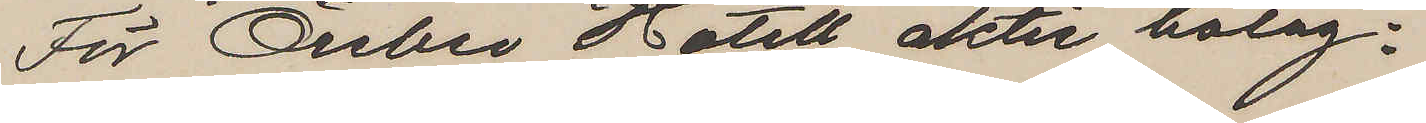För Örebro Hotell aktie bolag:
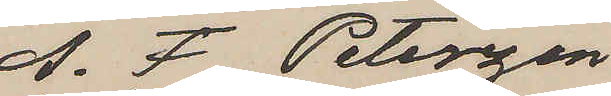A. F. Peterzen
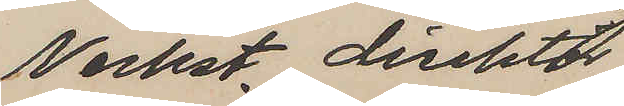Verkst. direktör.
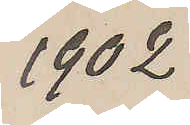1902
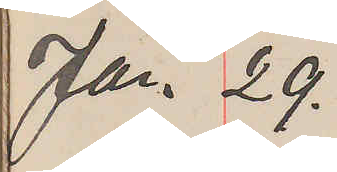Jan. 29.
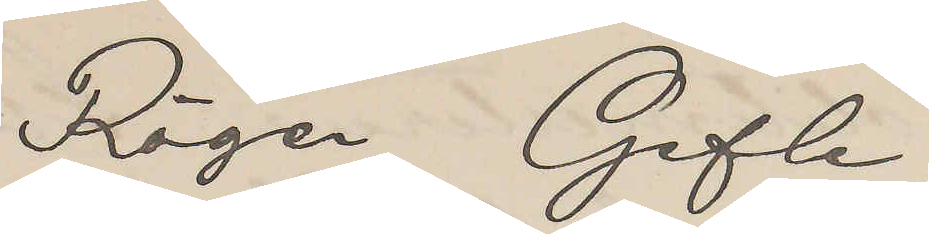Röger Gefle
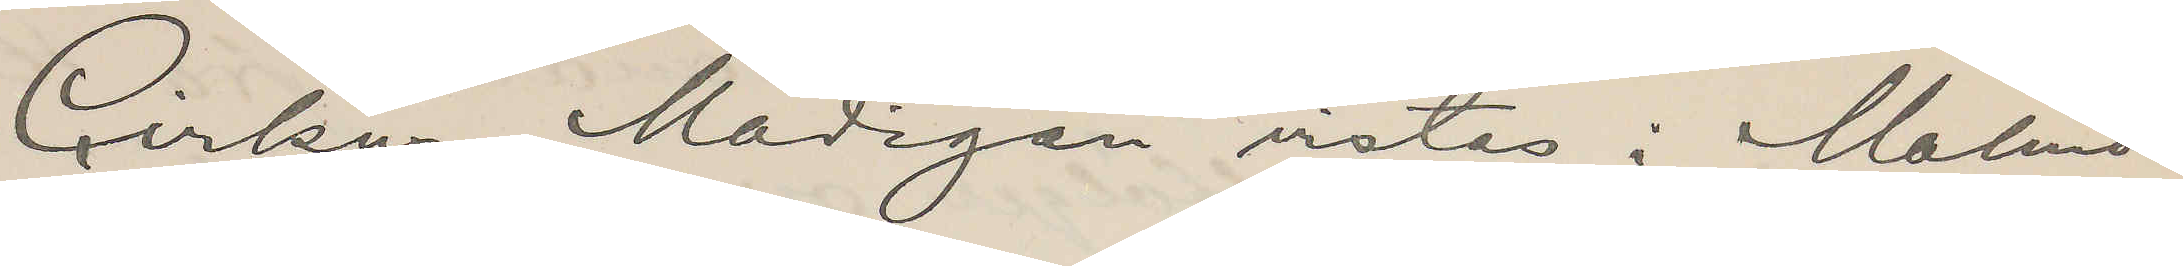Cirkus Madigan vistas i Malmö
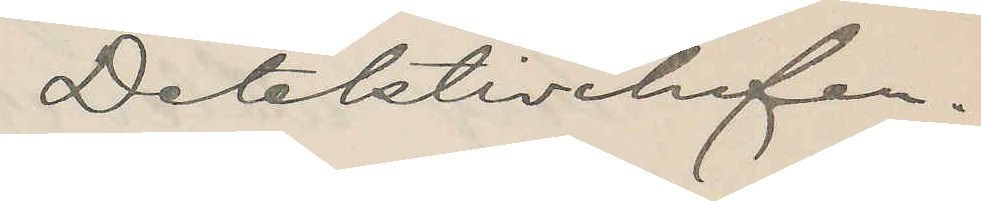Detektivchefen.
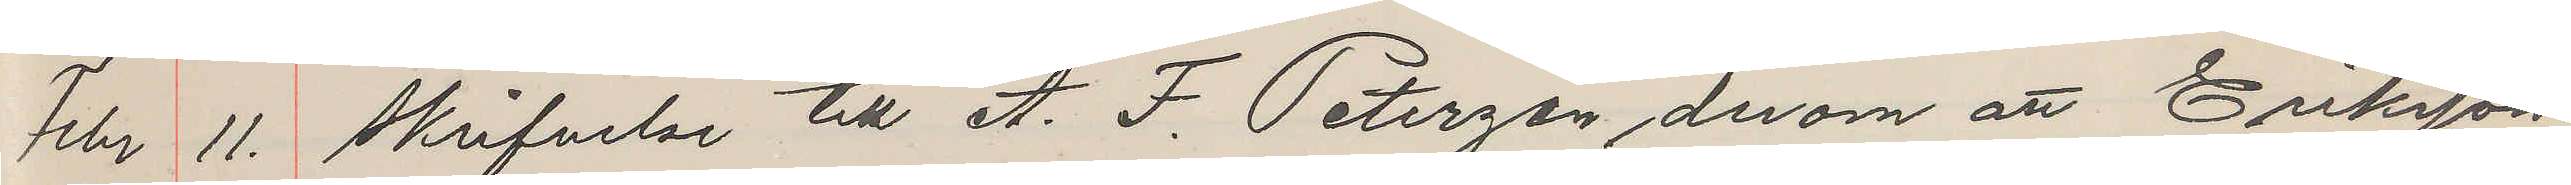Febr 11. Skrifvelse till A. F. Peterzén, derom att Eriksson
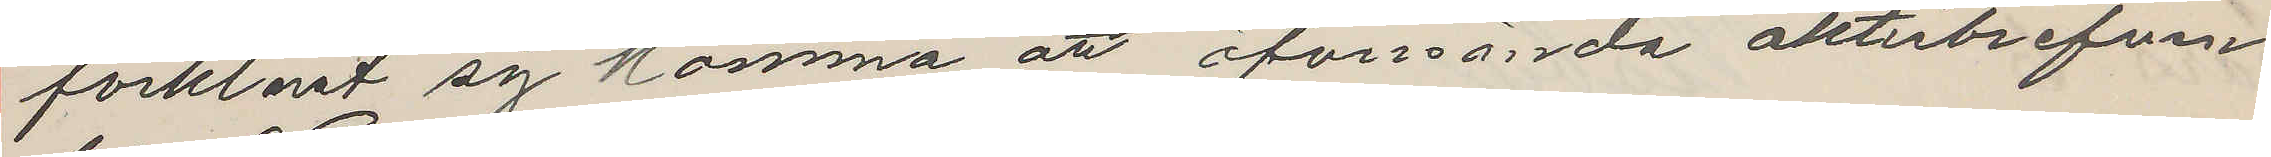förklarat sig komma att öfversända aktiebrefven
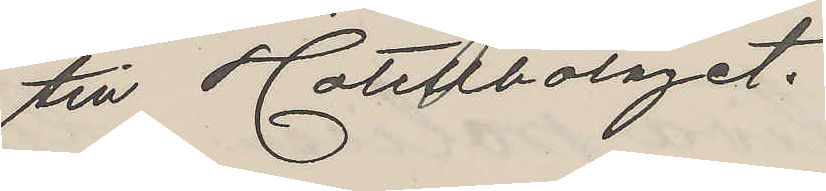till Hotellbolaget.
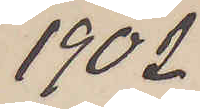1902.
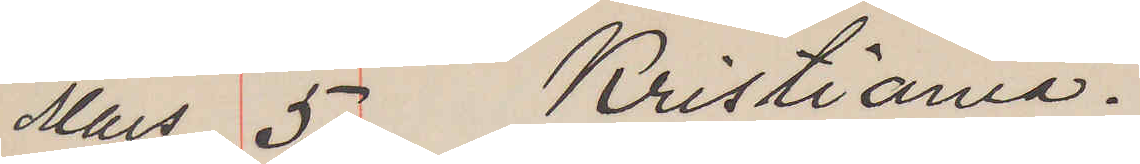Mars 5. Kristiania.
